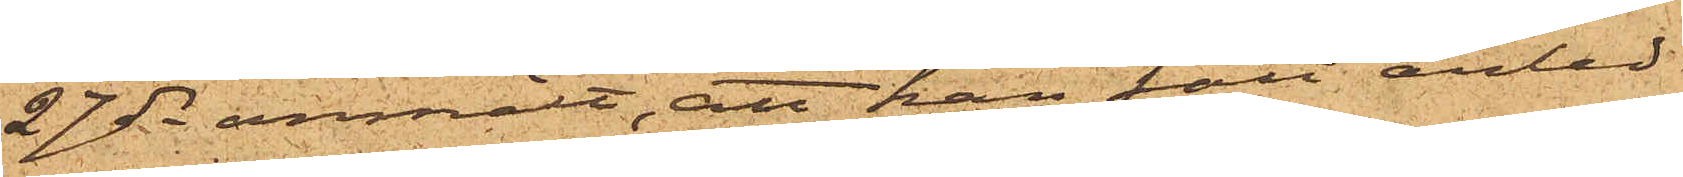27 ds anmält, att han fått anled¬
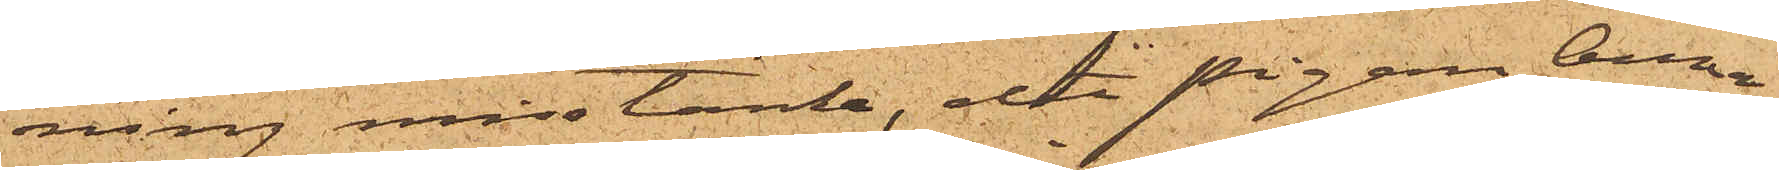ning misstänka, att pigan Anna
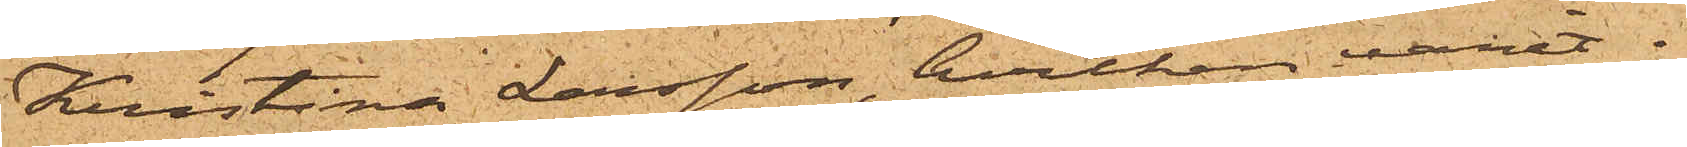Kristina Larsson, hvilken varit i
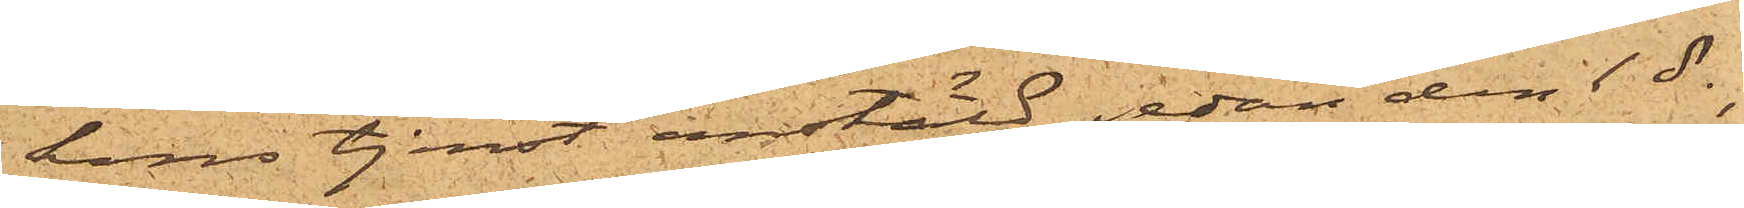hans tjenst anstäld sedan den 1 ds,
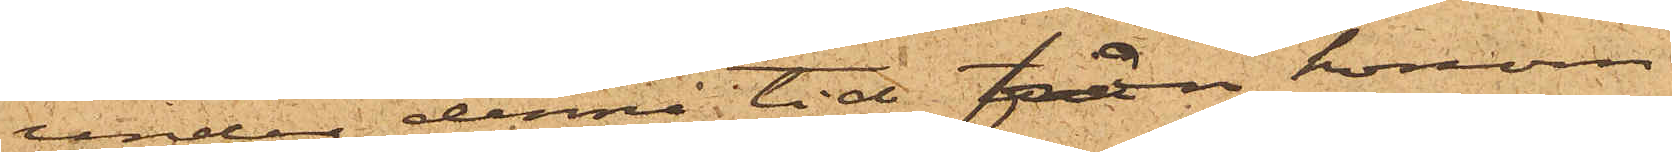under denna tid från honom
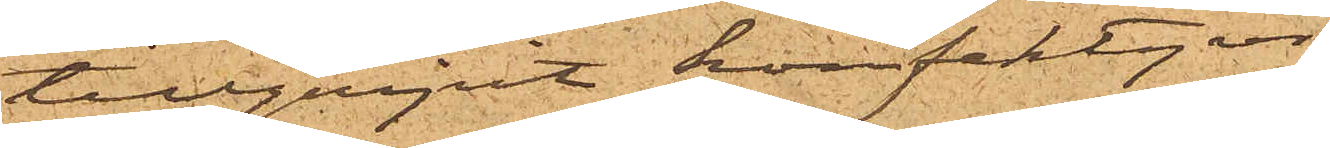tillgripit konfektyrer,
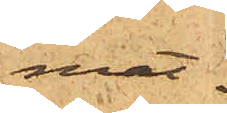mat¬
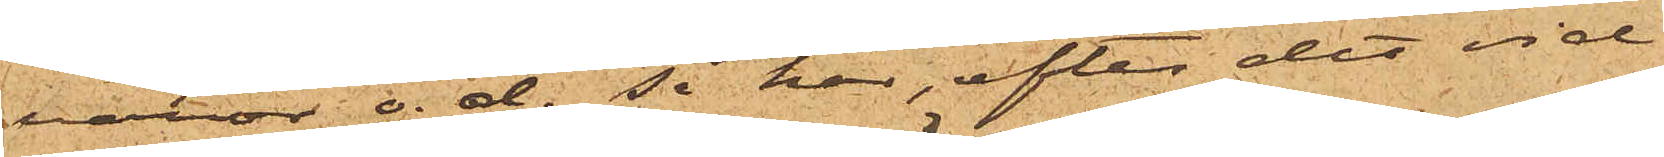varor o.d., så har, efter det vid
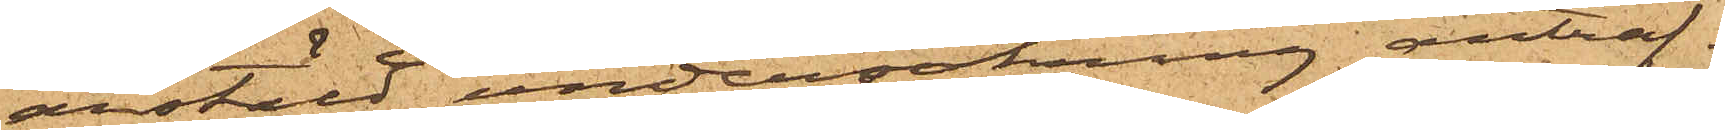anstäld undersökning anträf¬
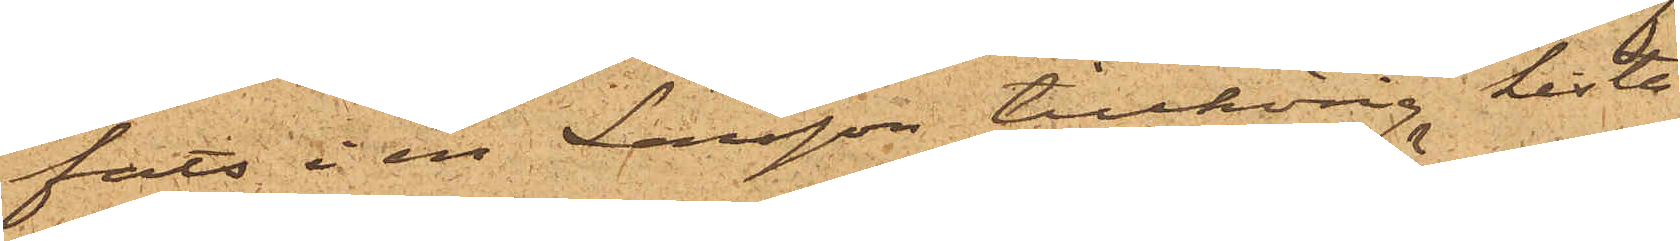fats i en Larsson tillhörig kista
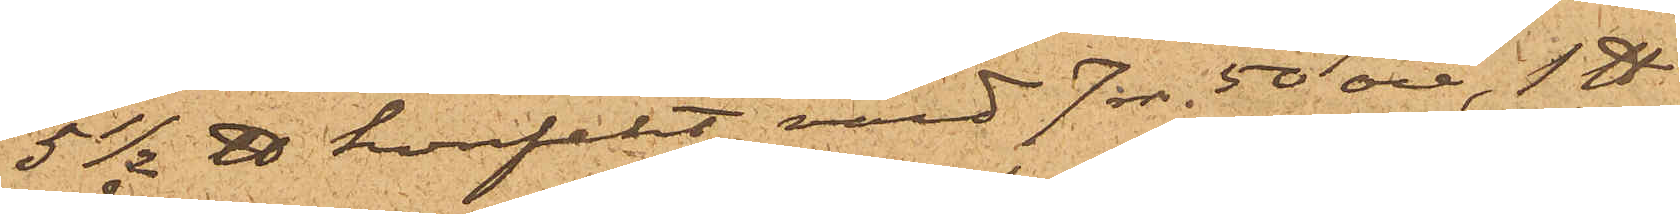5½ ℔ konfekt, värd 7 rdr. 50 öre, 1 ℔
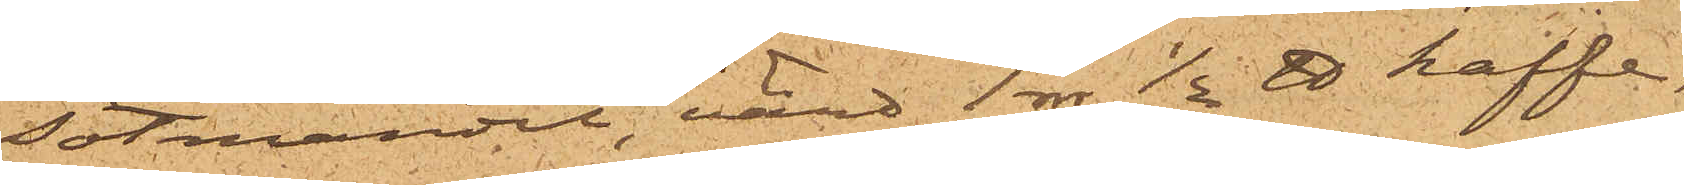sötmandel, värd 1 rdr, ½ ℔ kaffe,
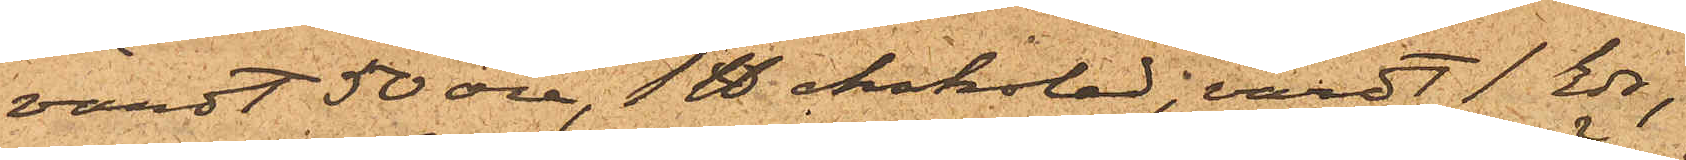värdt 50 öre, 1 ℔ choklad, värdt 1 rdr,
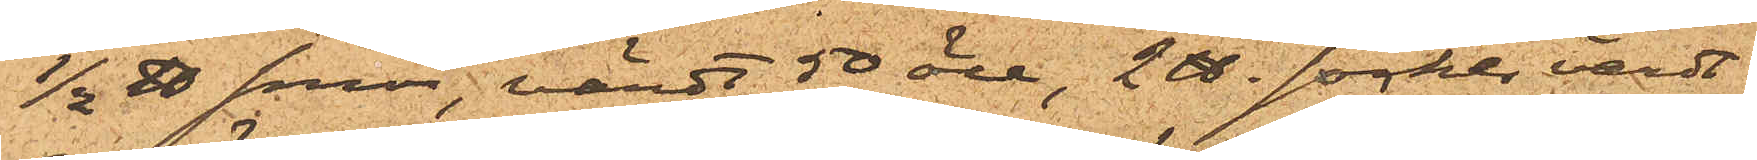½ ℔ smör, värdt 50 öre, 2 ℔ socker, värdt
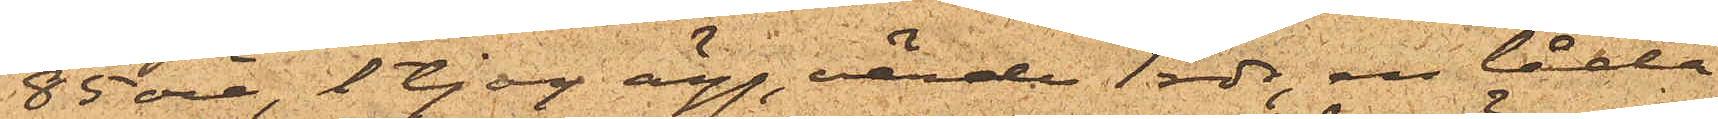85 öre, 1 tjog ägg, värde 1 rdr, en låda
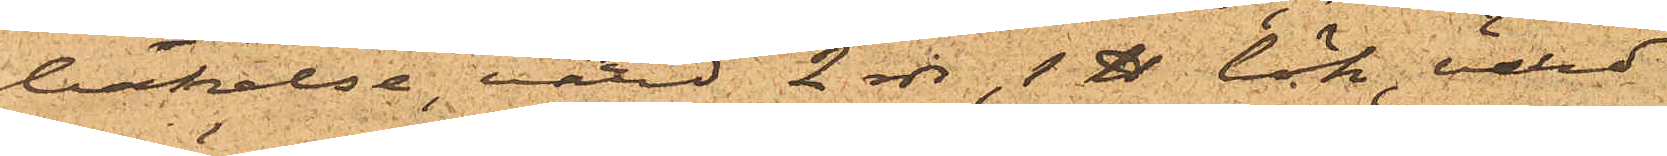blåelse, värd 2 rdr, 1 ℔ lök, värd
